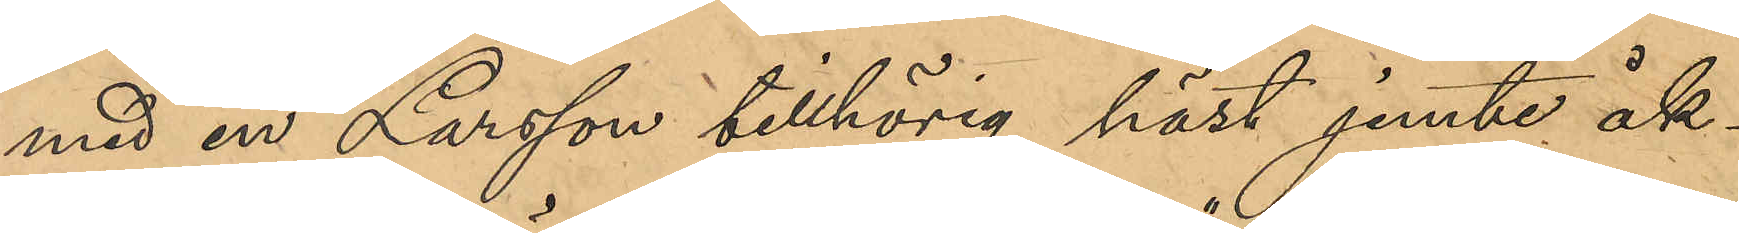med en Larsson tillhörig häst jemte åk¬
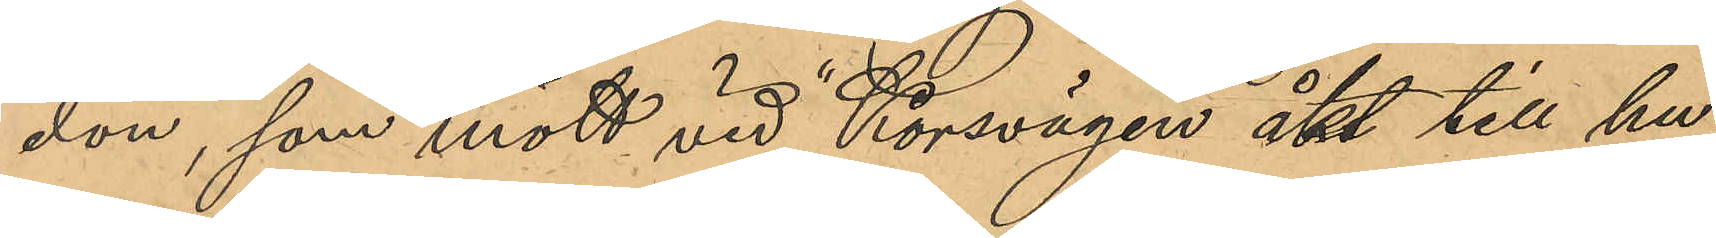don, som mött vid "Korsvägen" åkt till hu¬
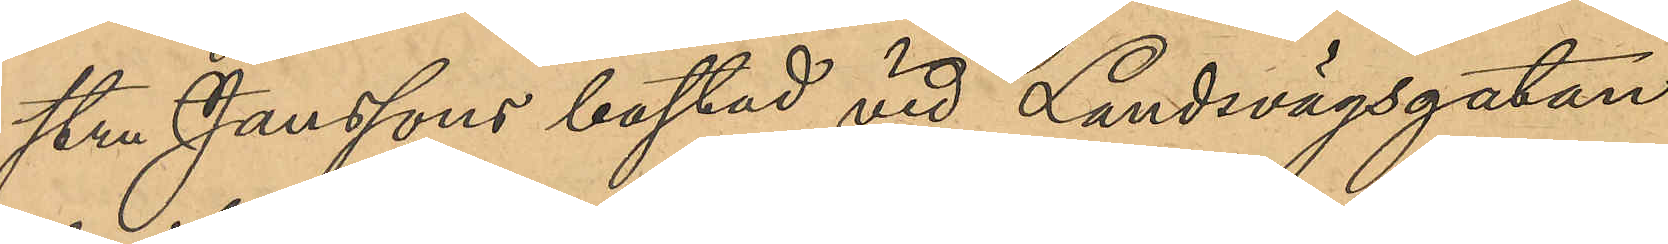stru Janssons bostad vid Landsvägsgatan
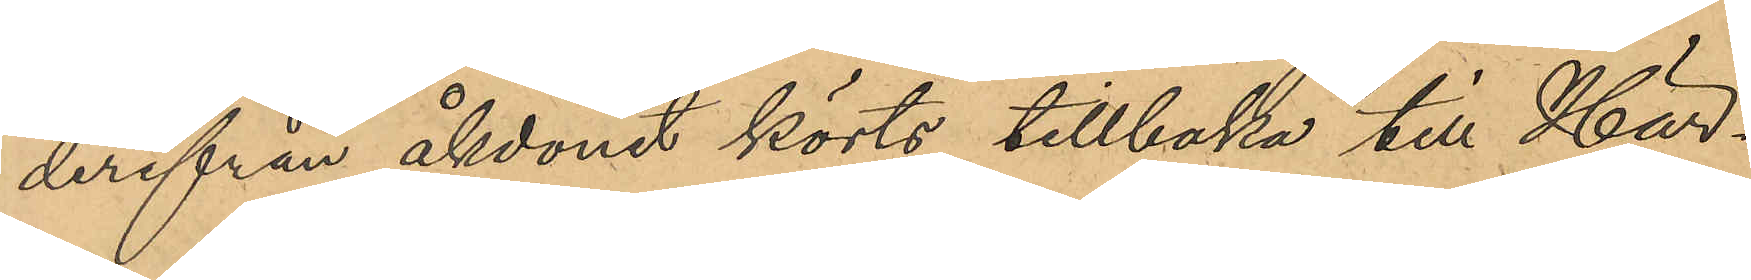derifrån åkdonen körts tillbaka till Här¬
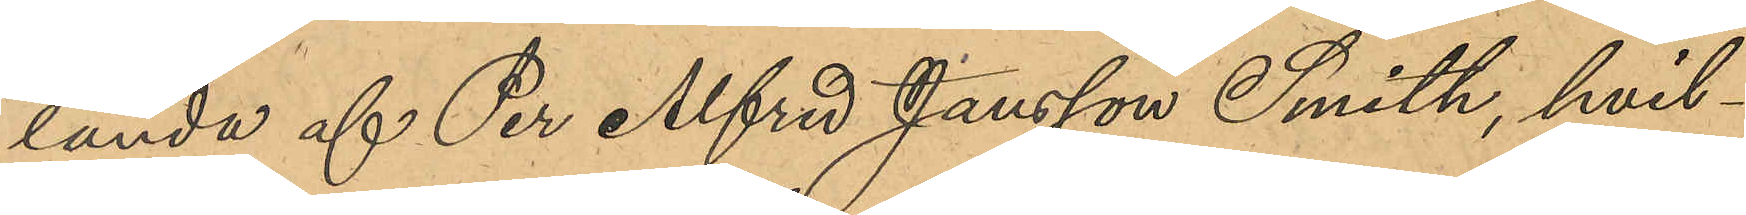landa af Per Alfred Jansson Smith, hvil¬
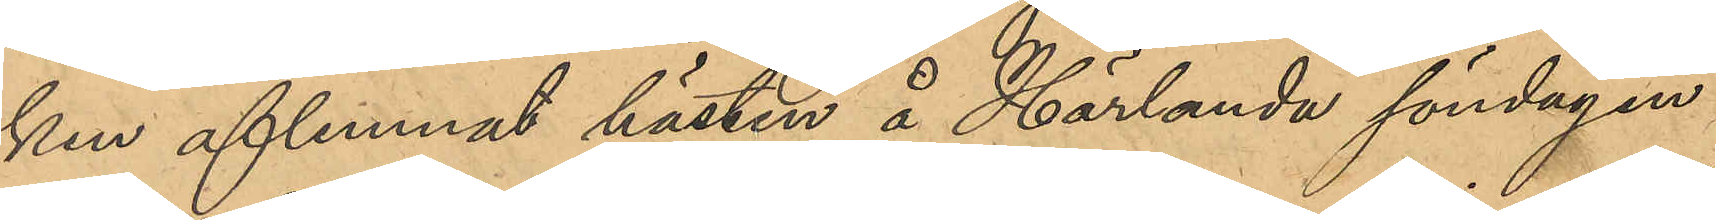ken aflemnat hästen å Härlanda söndagen
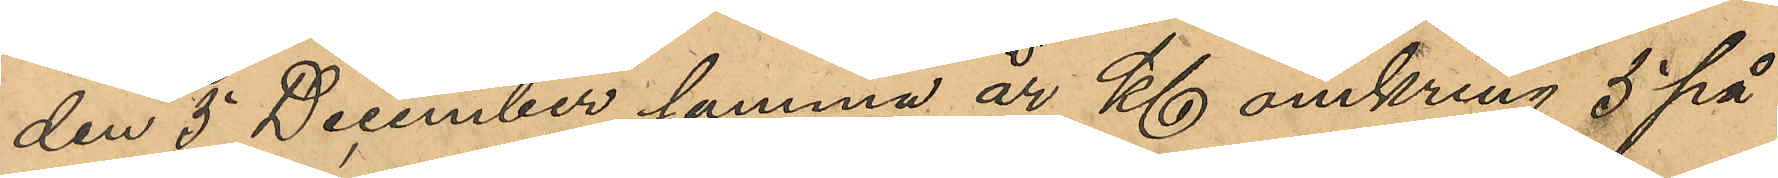den 5 December samma år Kl omkring 5 på
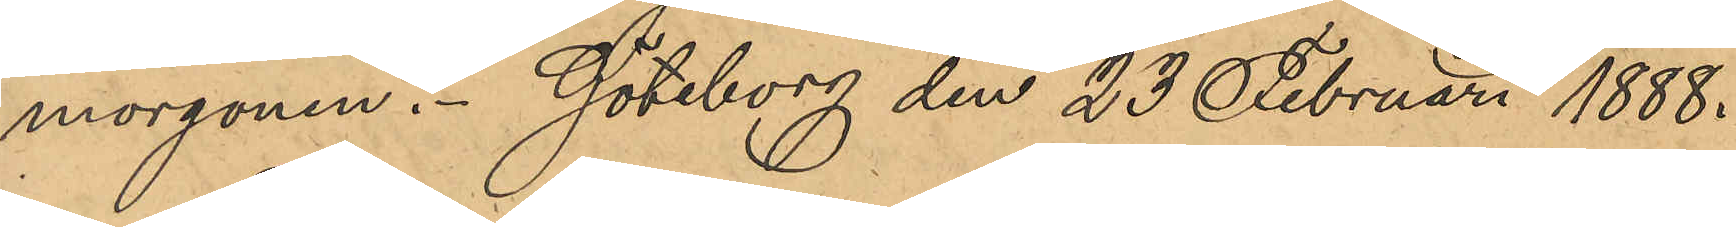morgonen. Göteborg den 23 Februari 1888.
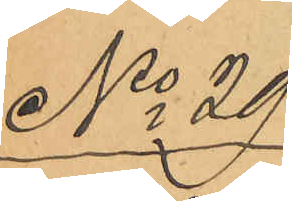No 29
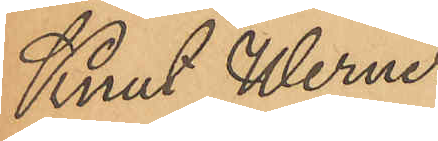Knut Werner
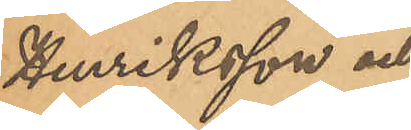Henriksson och
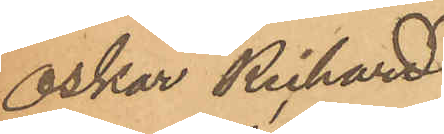Oskar Rickard
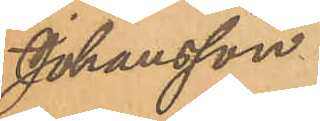Johansson.
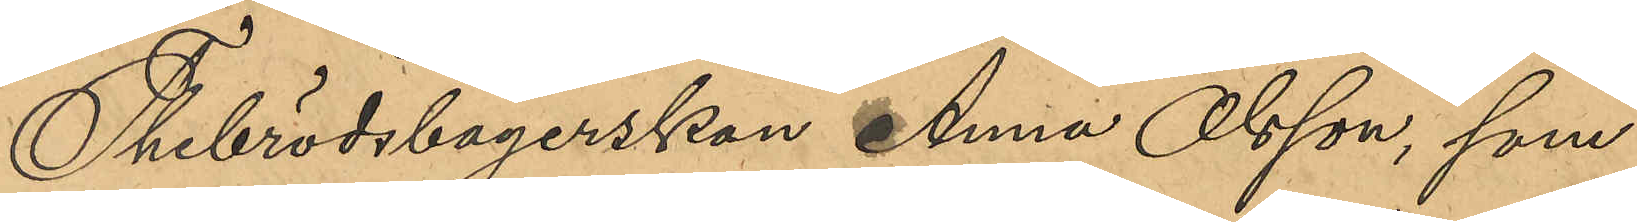Thebrödsbagerskan Anna Olsson, som
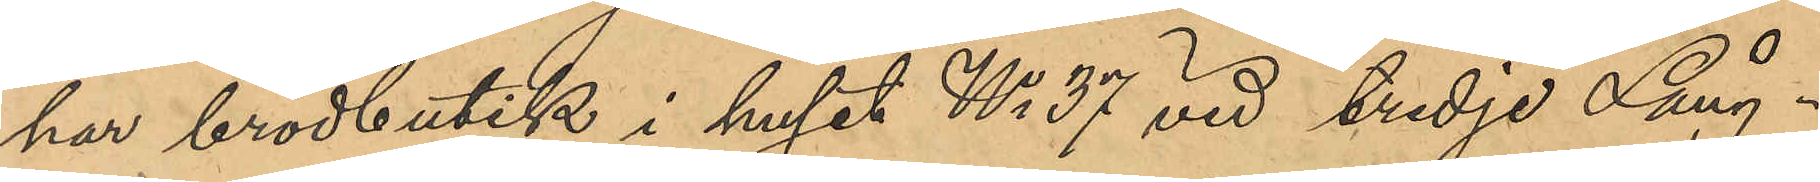har brödbutik i huset No 37 vid tredje Lång¬
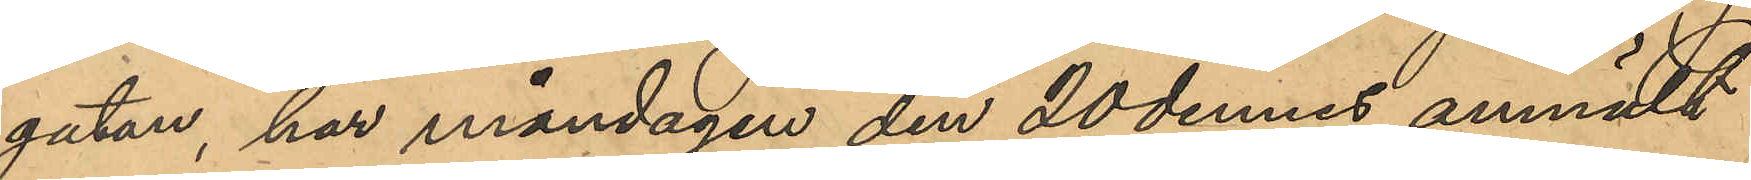gatan, har måndagen den 20 dennes anmält
